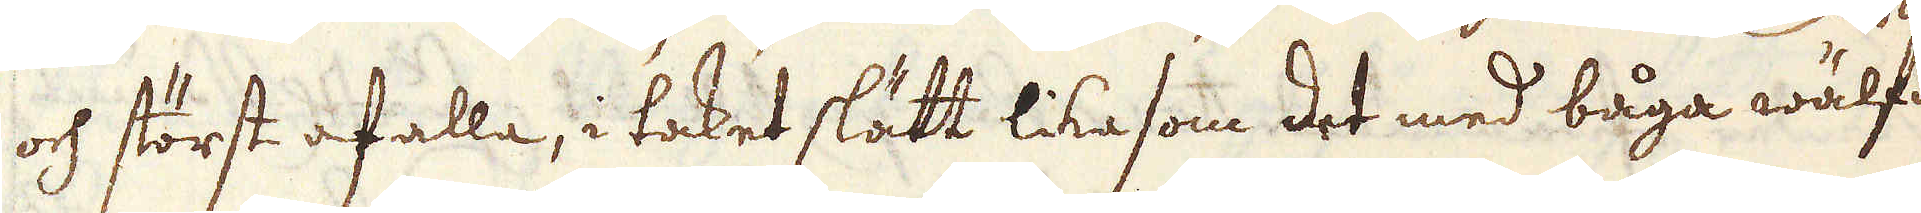och störst af alla, i taket slätt lika som det med båga wälfdt
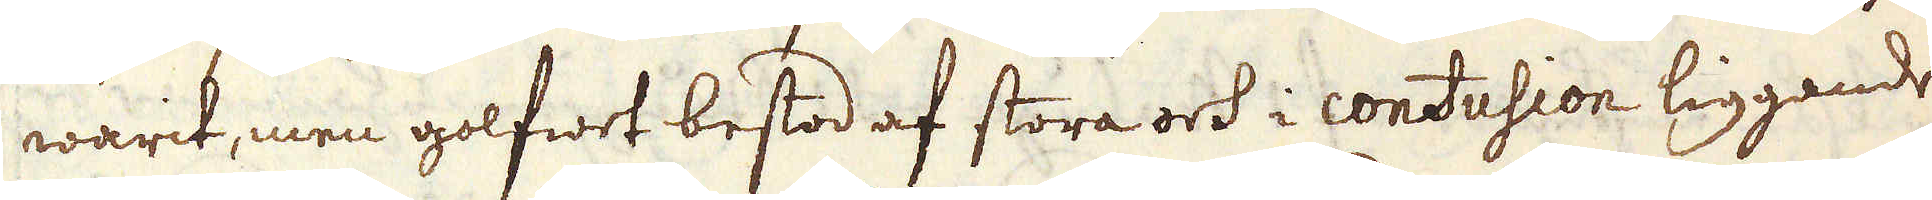warit, men golfwet bestod af stora och i confusion liggande
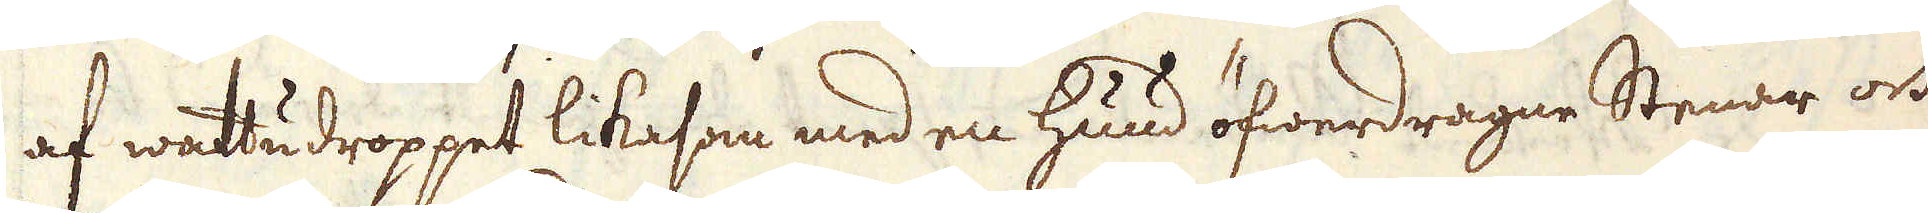af wattudroppet likasom med en huud öfwerdragne Stenar och
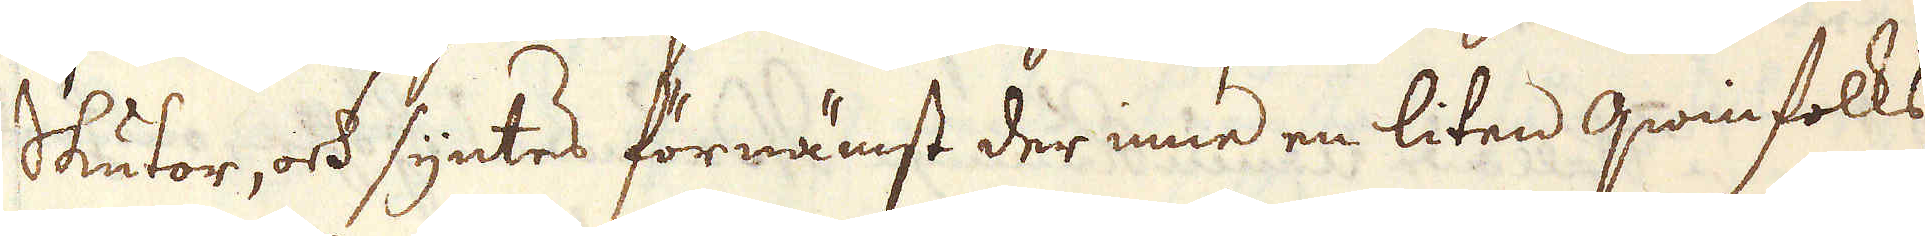Skutor, ock syntes förnämst der inne en liten qwinfolks-
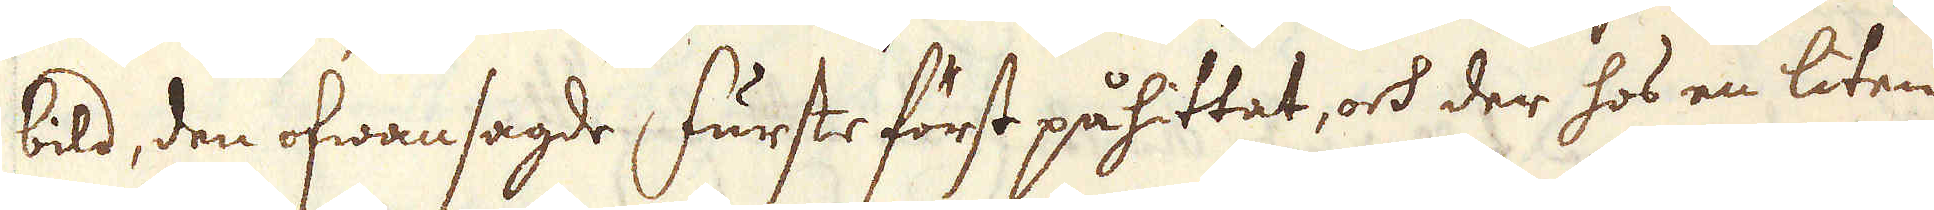bild, den ofwansagde furste först påhittat, och der hos en liten
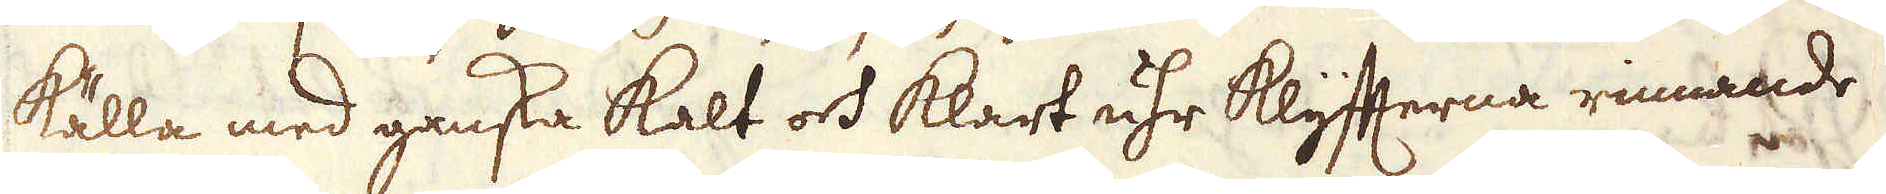källa med ganska kalt och klart uhr klyfterna rinnande
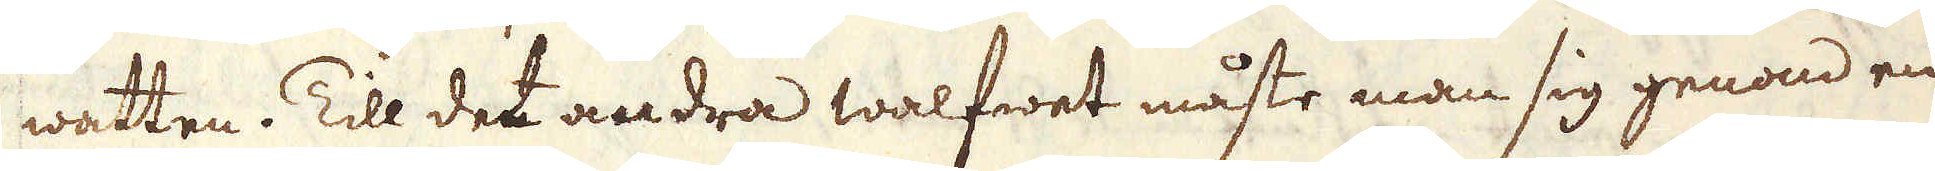watten. Till det andra walfwet måste man sig genom en
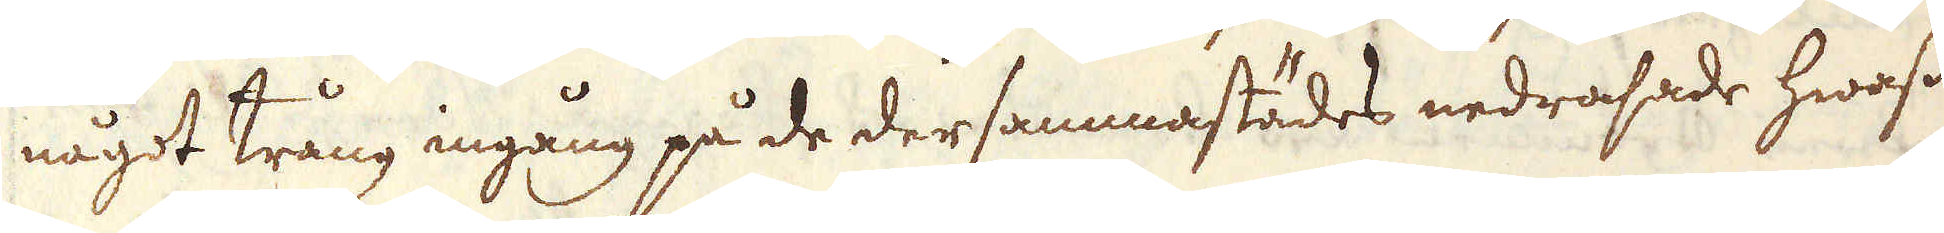något trång ingång på de dersammastädes nedrasade hwass
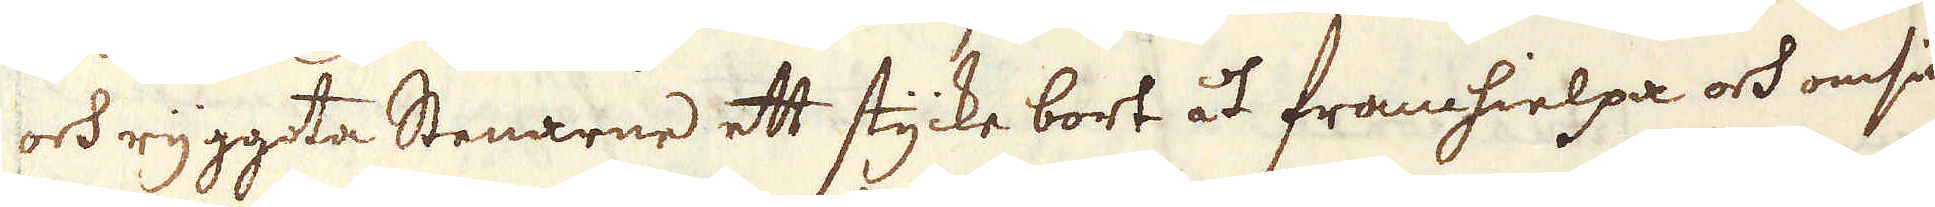och ryggeta Stenarne ett stycke bort åt framhielpa och omsider
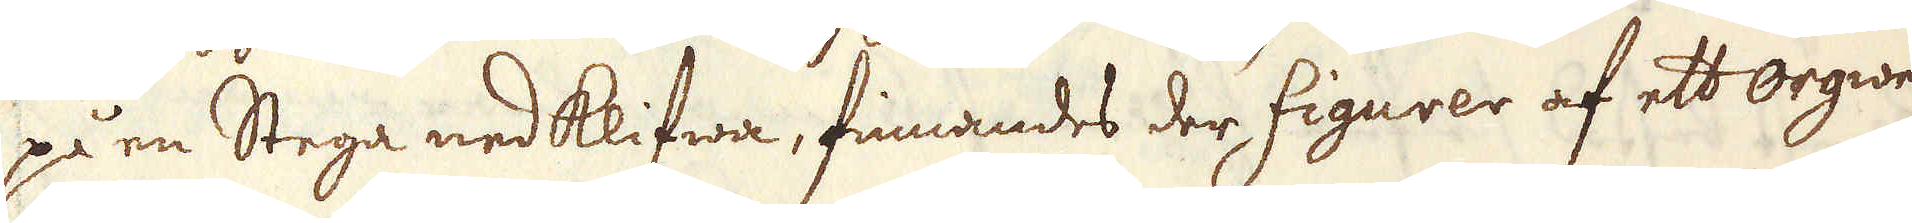på en Stege nedklifwa, finnandes der figurer af ett orgwerk
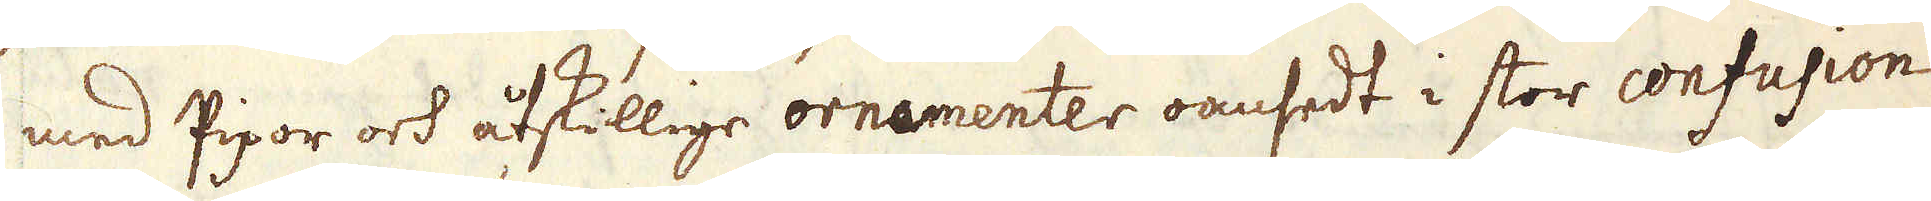med Pipor och åtskillige ornamenter oansedt i stor confusion
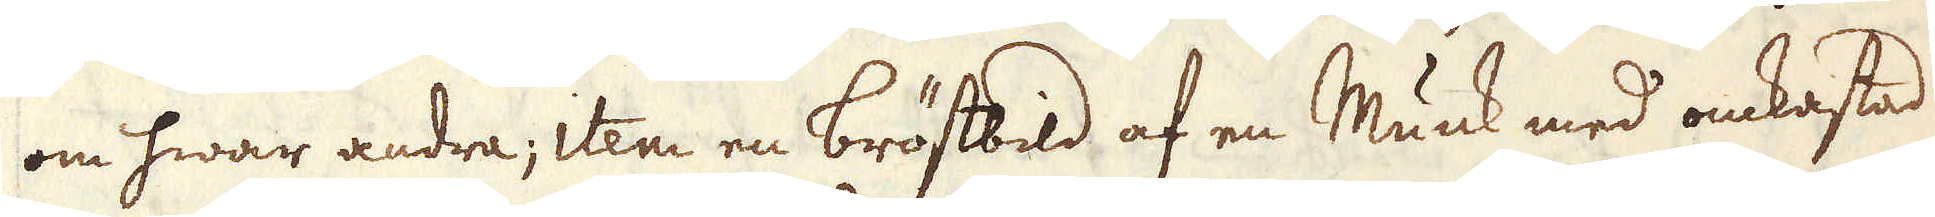om hwar andra, item en bröstbild af en Munk med omkastad
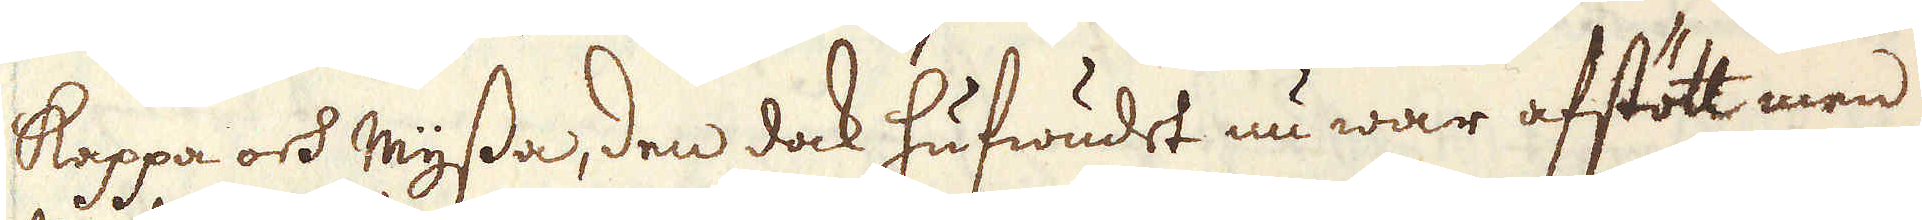kappa och myssa, den dock hufwudet nu war afstött men
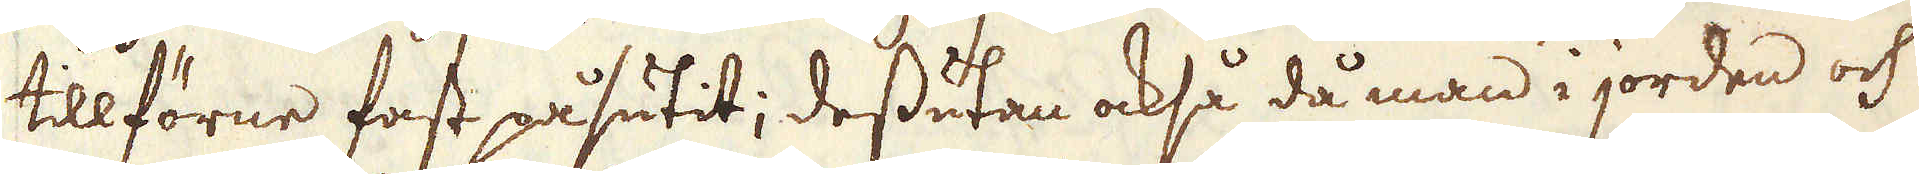tillförne fast påsutit; dessutan också då man i jorden och
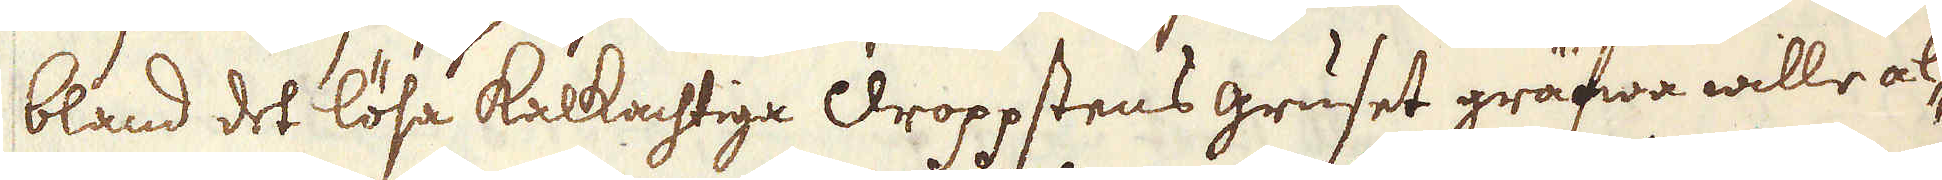bland det lösa kalkachtiga droppstens gruset gräfwa wille al-
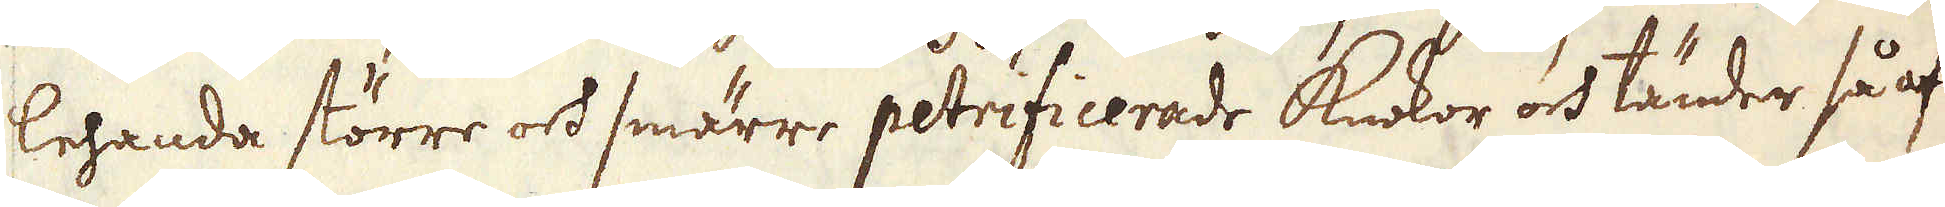lehanda större och smärre petrificerade knokor och tänder så af
